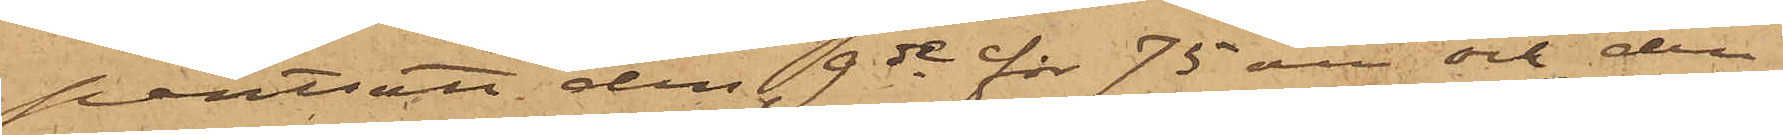pantsatt den 9de för 75 öre och den
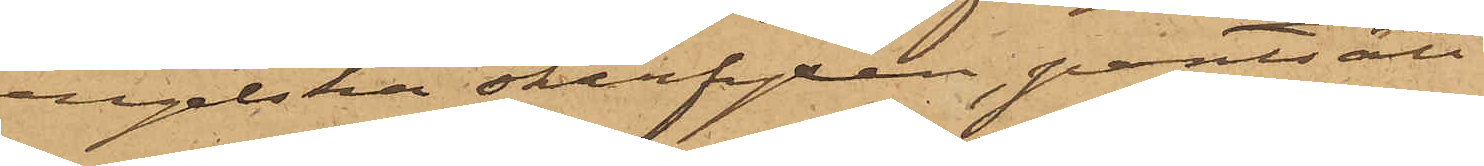engelska skarfyxan, pantsatt
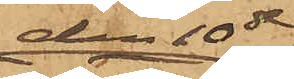den 10de
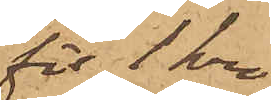för 1 kro¬
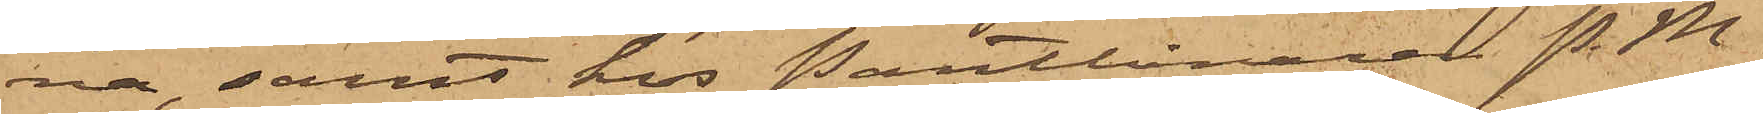na, samt hos Pantlånaren P. M.
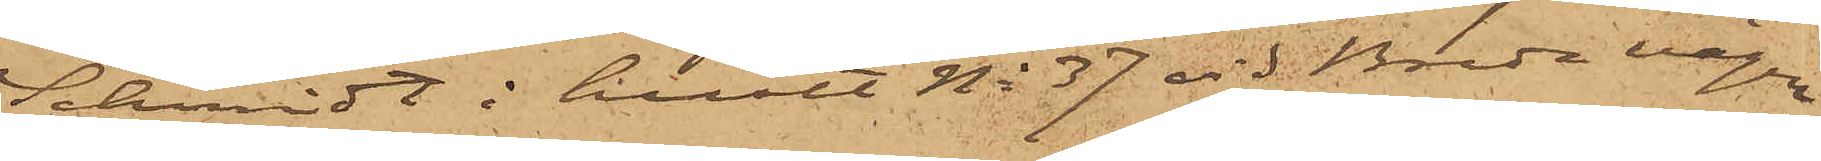Schmidt i huset No 37 vid Breda vägen
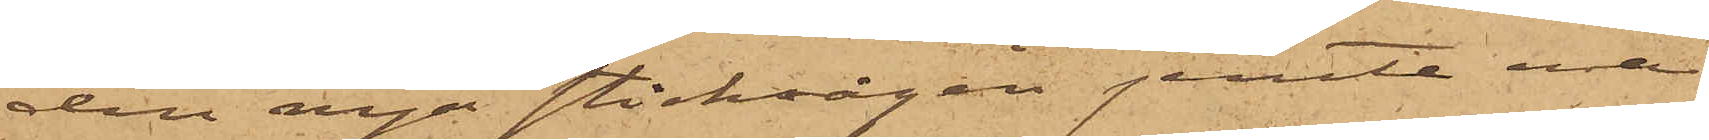den nya sticksågen jemte ena
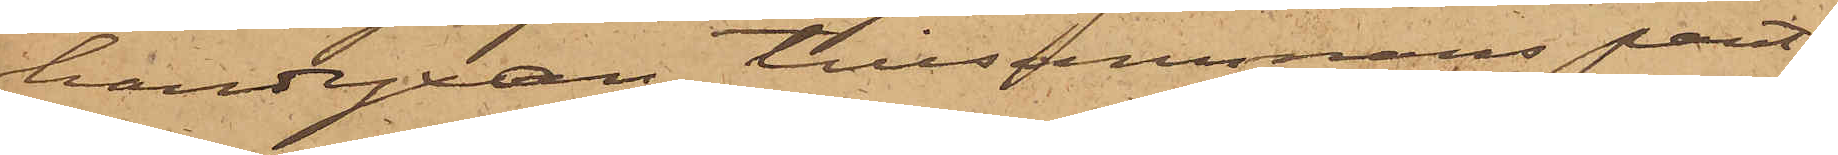handyxan tillsammans pant¬
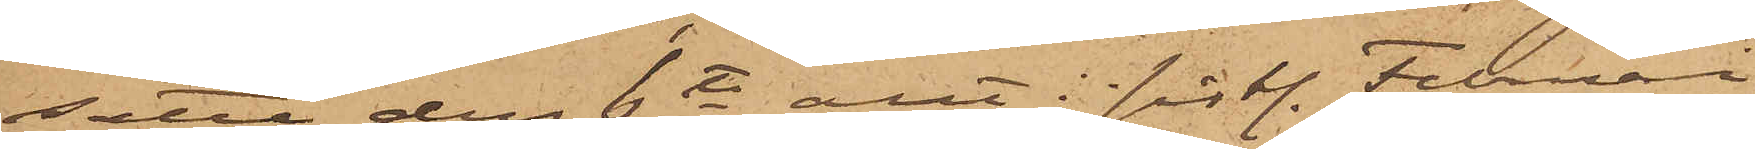satta den 6te allt i sistl. Februari
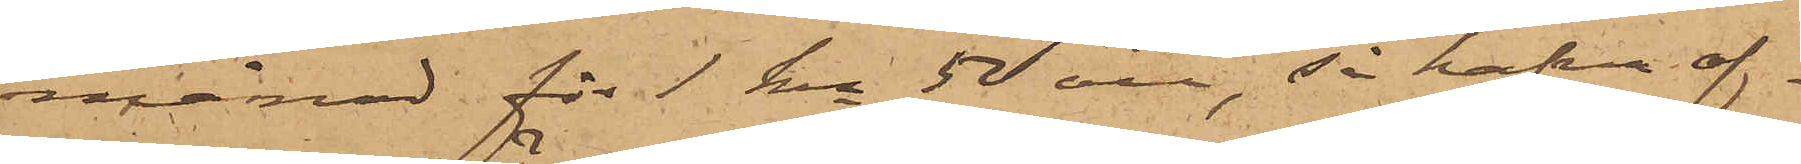månad för 1 kr 50 öre, så hafva of¬
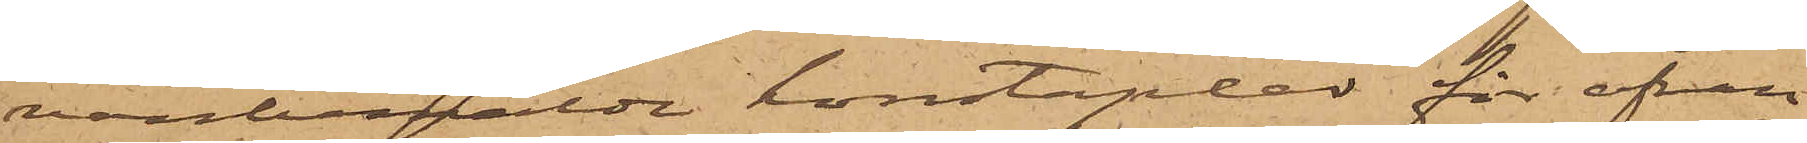vanbemälde konstaplar för ofvan¬
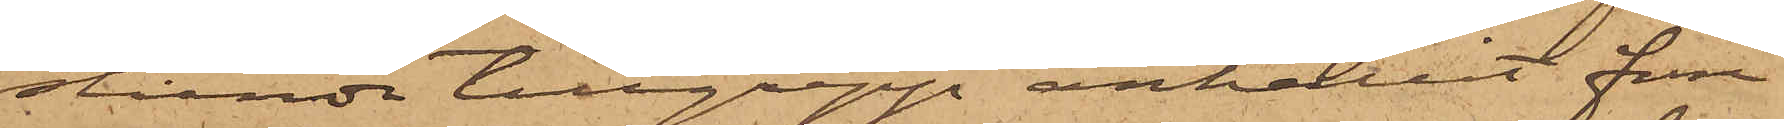stående tillgrepp anhållit förre
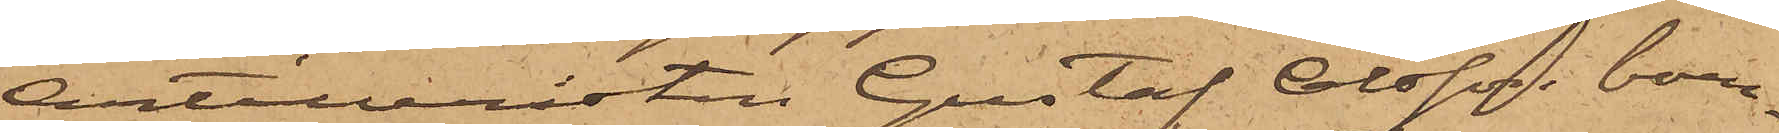Artilleristen Gustaf Olsson, boen¬
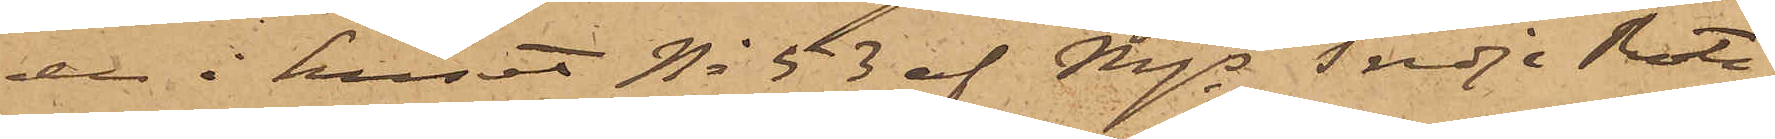de i huset No 53 af Mjs Tredje Rote,
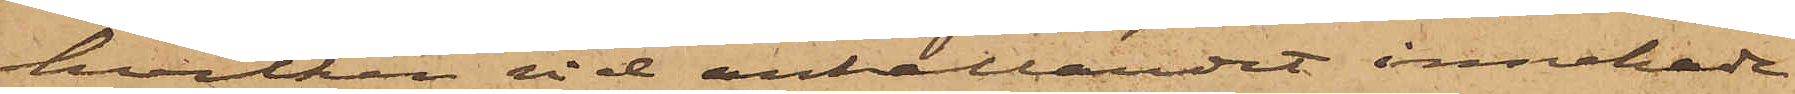hvilken vid anhållandet innehade
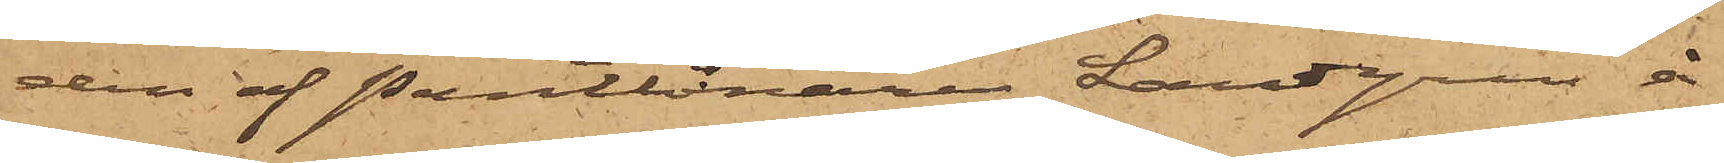den af Pantlånare Landgren å
